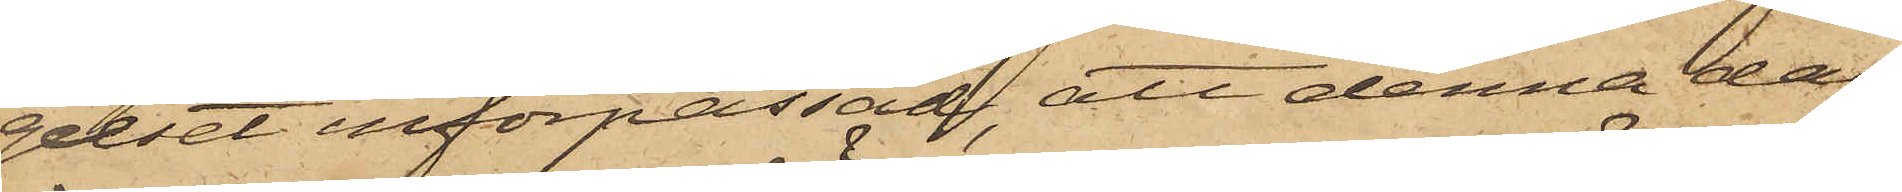gelset införpassad, att denna dag
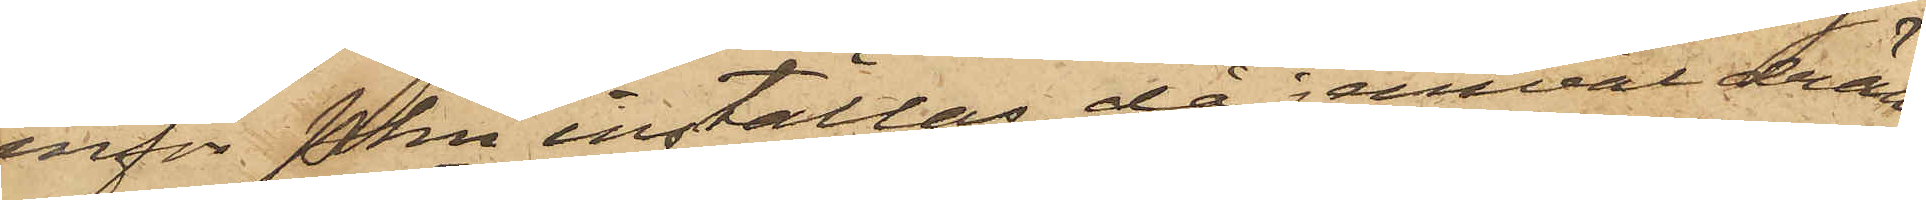inför Pkn inställas, då jemväl drän¬
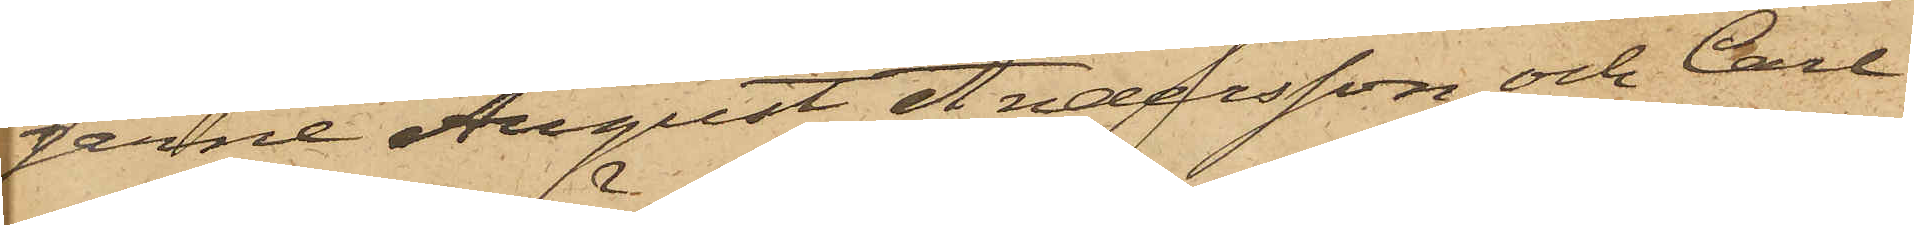garne August Andersson och Carl
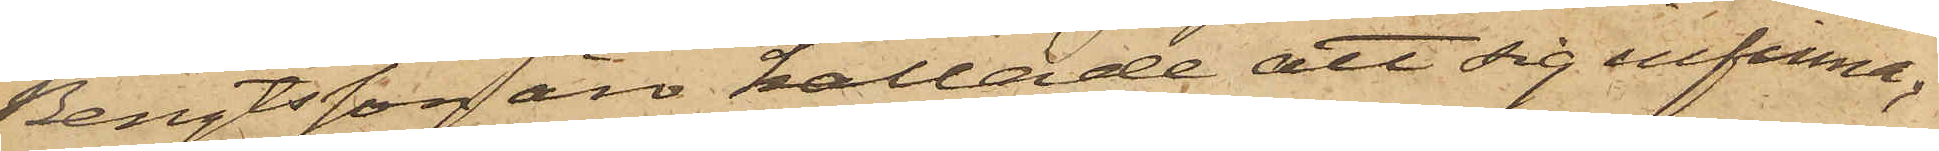Bengtsson äro kallade att sig infinna.
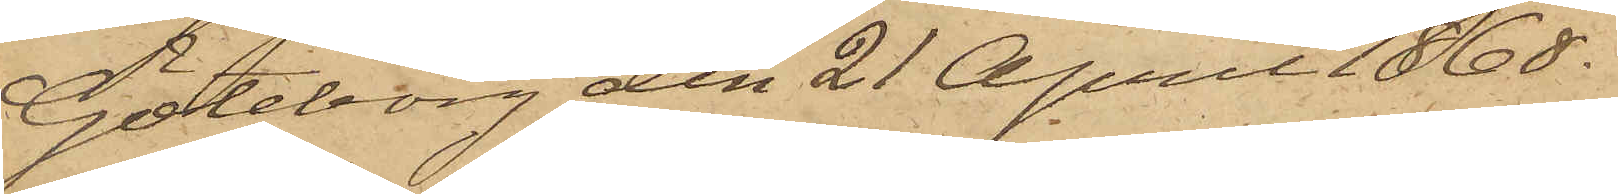Göteborg den 21 April 1868.
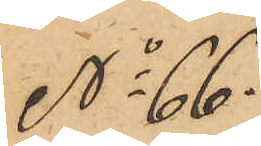No 66.
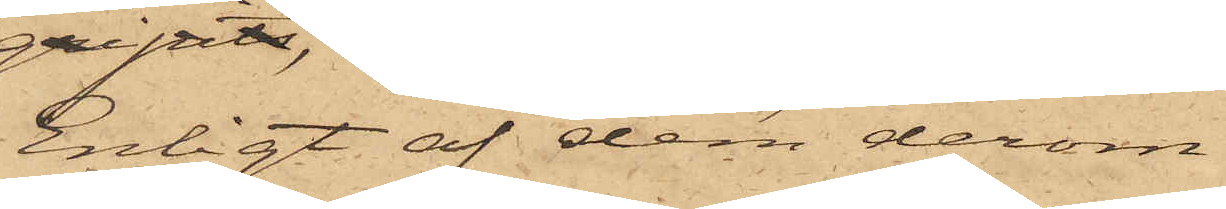Enligt af dem derom
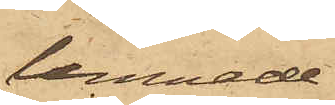lemnade
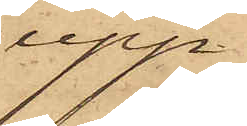upp¬
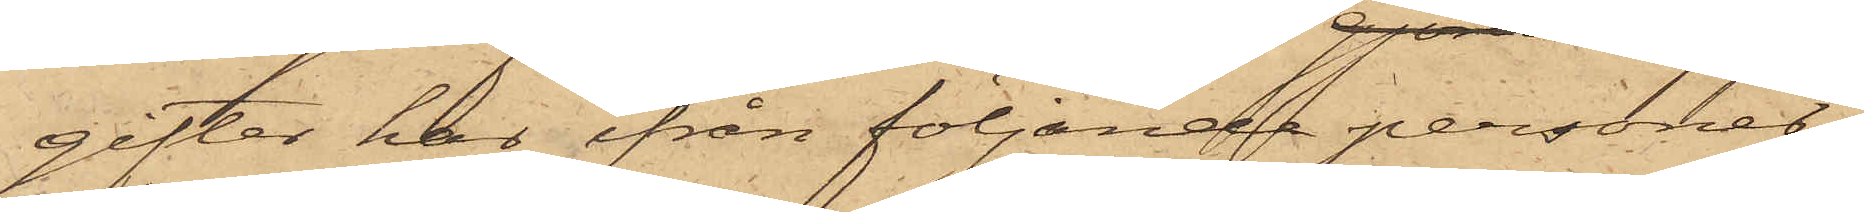gifter har ifrån följande personer
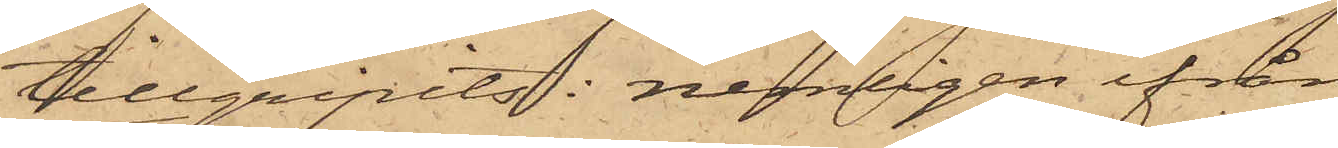tillgripits: nemligen ifrån
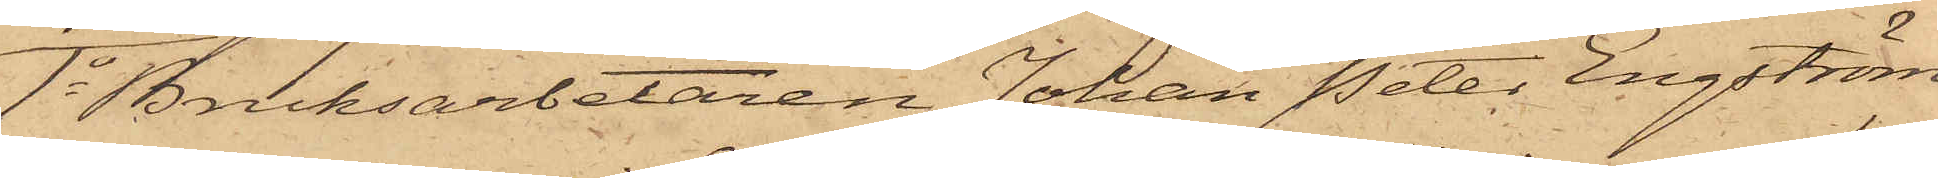1o Bruksarbetaren Johan Peter Engström,
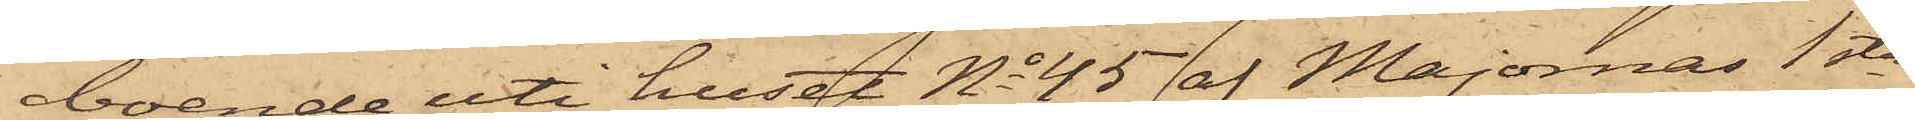boende uti huset No 45 af Majornas 1sta
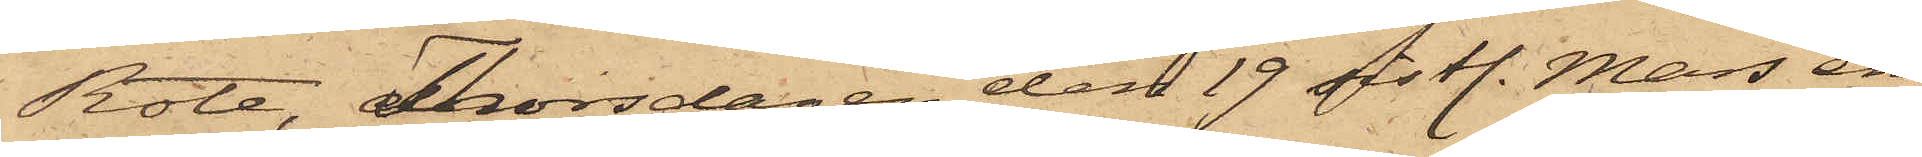Rote, Thorsdagen den 19 sistl. Mars en
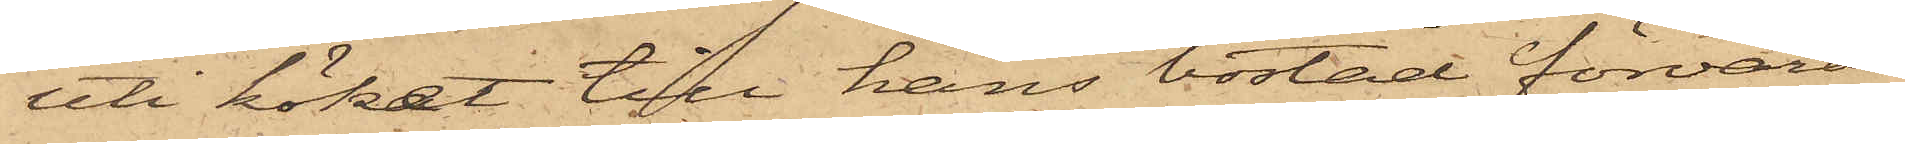uti köket till hans bostad förvarad
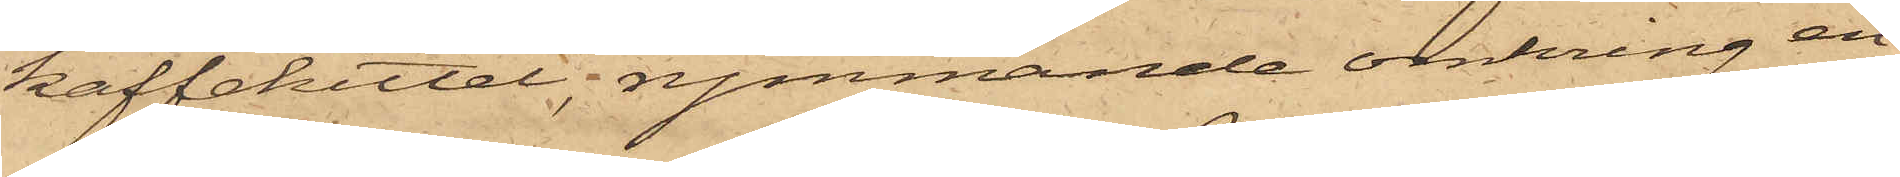kaffekittel, rymmande omkring en
